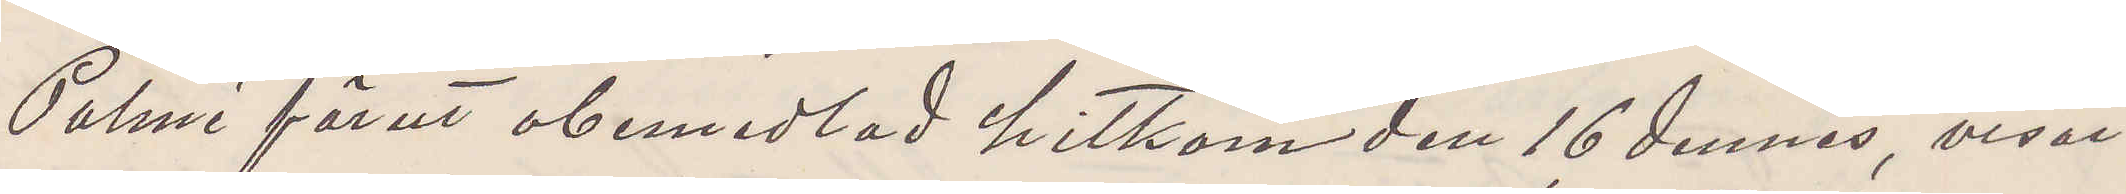Palmé förut obemedlad hitkom den 16 dennes, visat
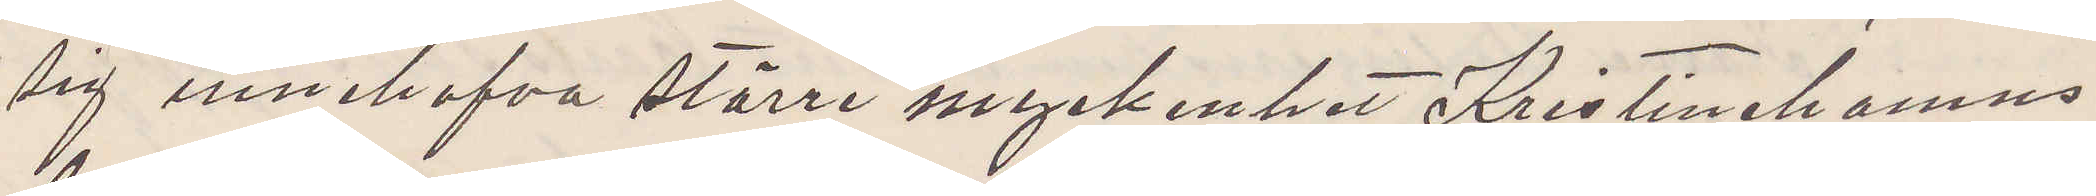sig innehafva större myckenhet Kristinehamns
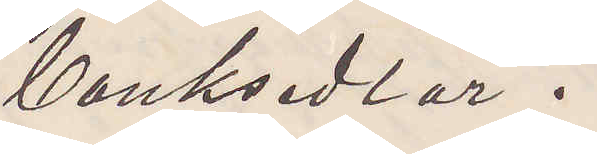banksedlar.
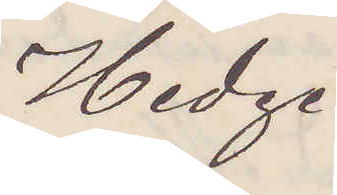Hedge
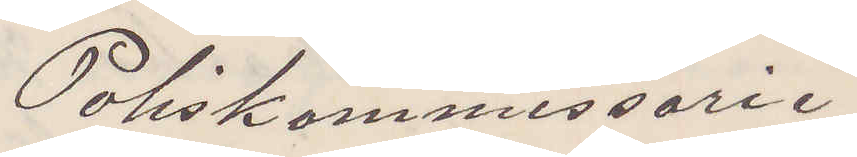Poliskommissarie
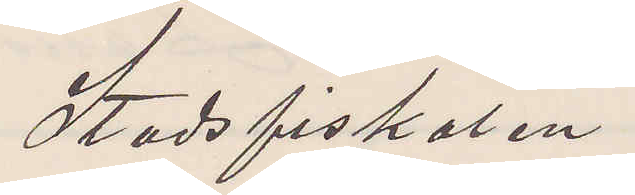Stadsfiskalen
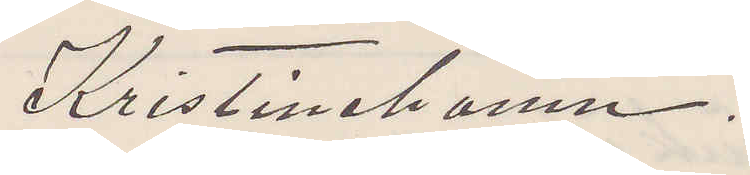Kristinehamn.
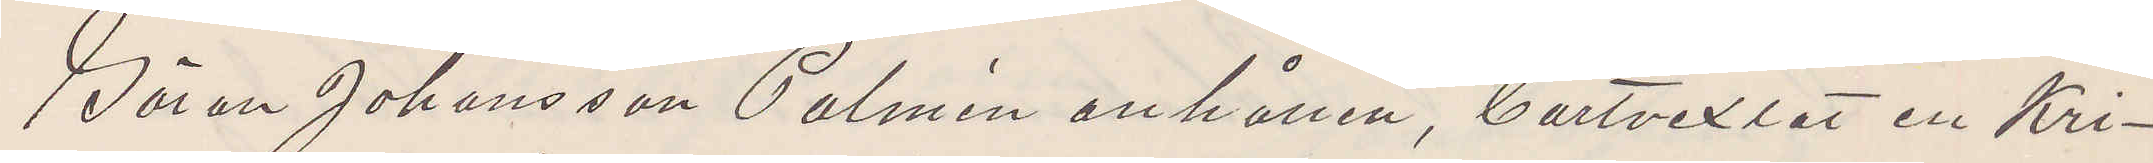Göran Johansson Palmén anhållen, bortvexlat en Kri¬
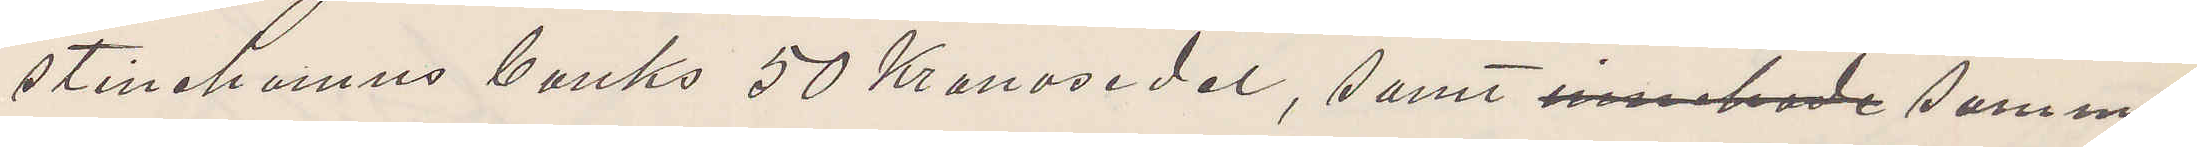stinehamns banks 50 Kronosedel, samt innehade samma
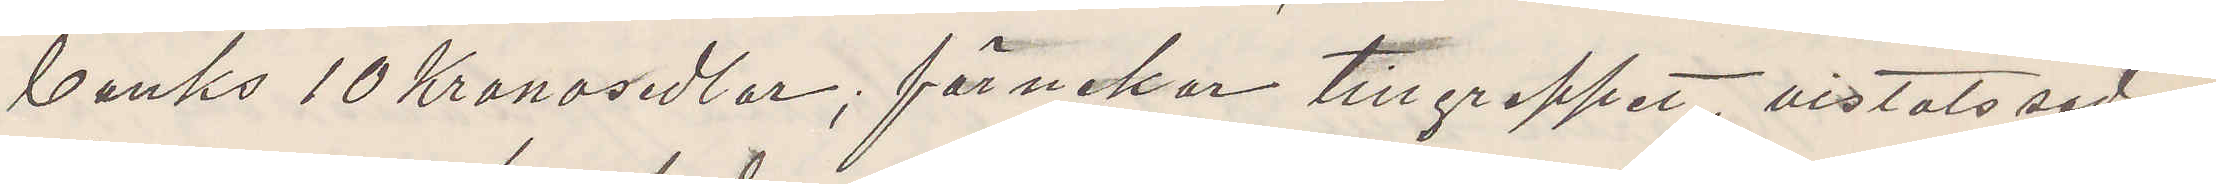banks 10 Kronosedlar; förnekar tillgreppet, vistats sedan
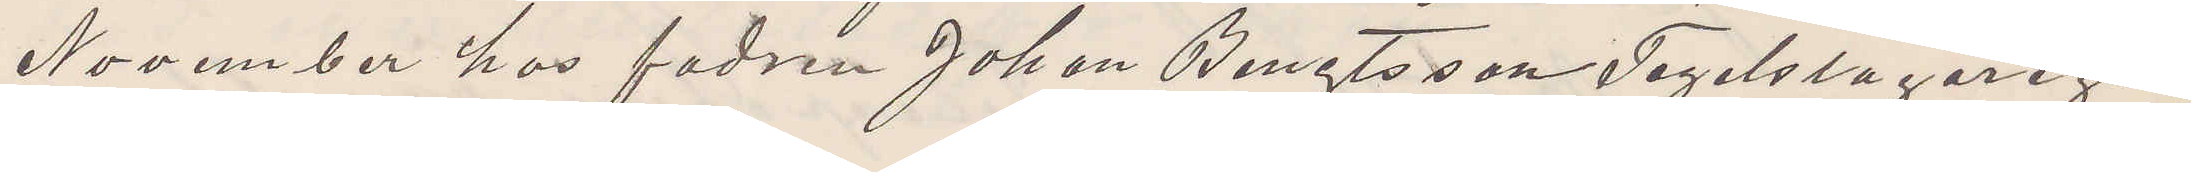November hos fadren Johan Bengtsson Tegelslagarega¬
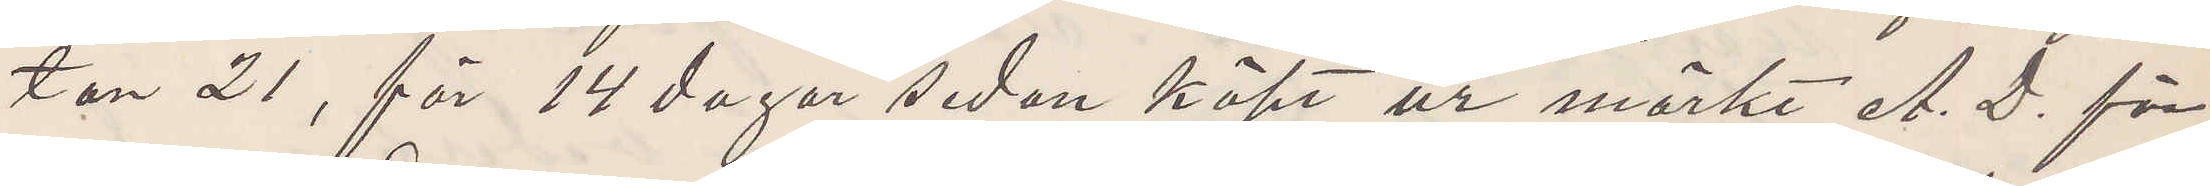tan 21, för 14 dagar sedan köpt ur märkt A. D. för
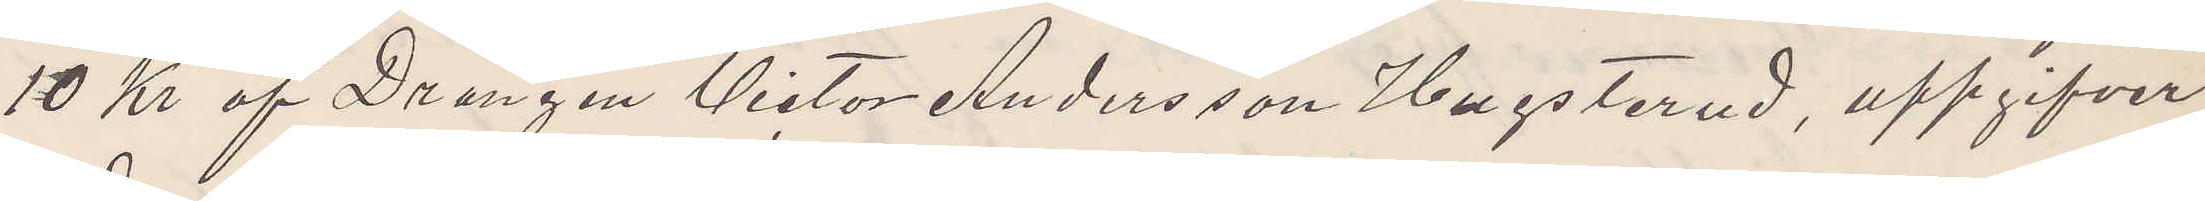10 Kr af Drängen Victor Andersson Hugsterud, uppgifver
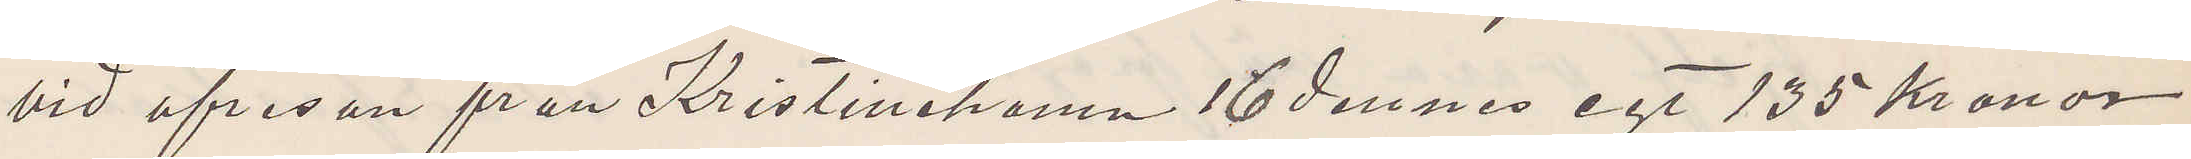vid afresan från Kristinehamn 16 dennes egt 135 Kronor
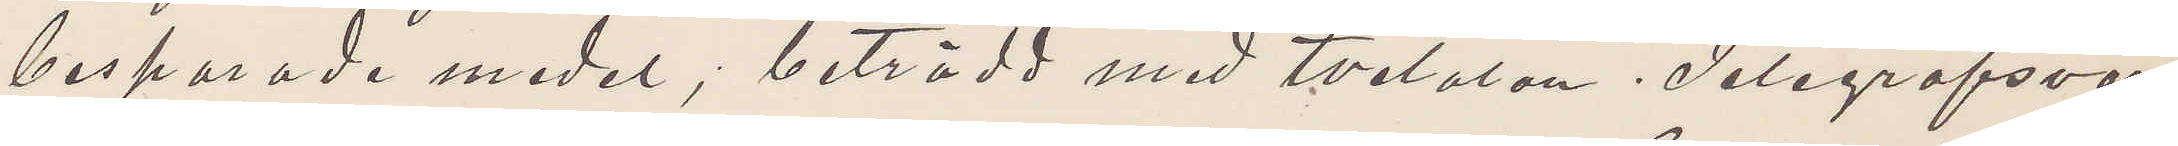besparade medel; beträdd med tvetalan. Telegrafsvar.
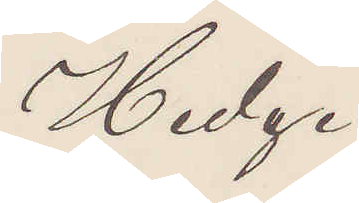Hedge
